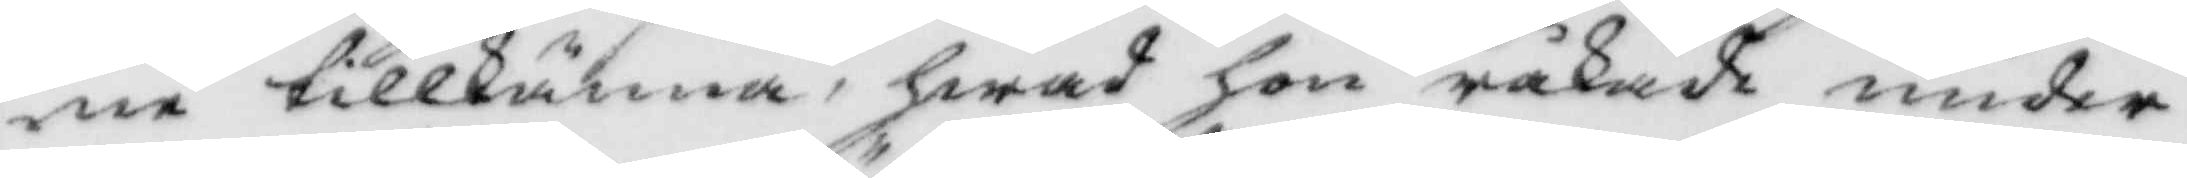ne tillkänna, hwad hon råkade under
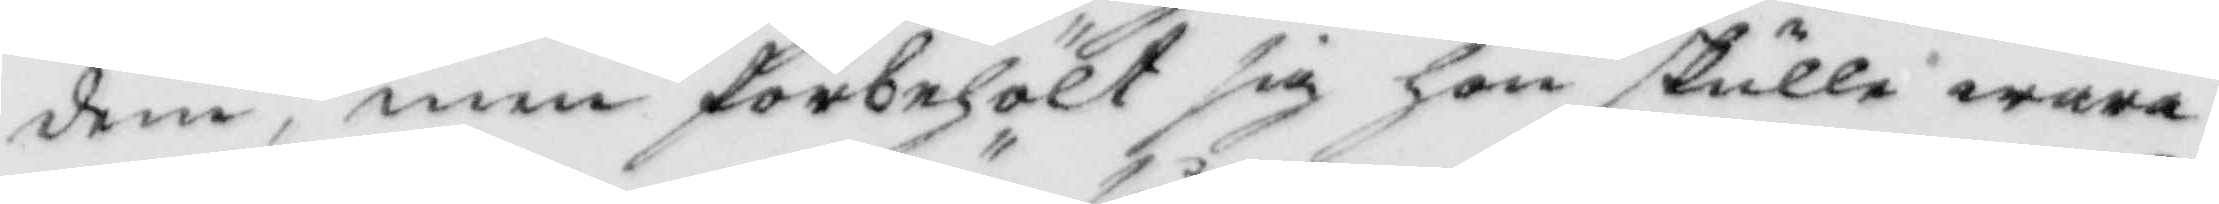dem, men förbehölt sig hon skulle wara
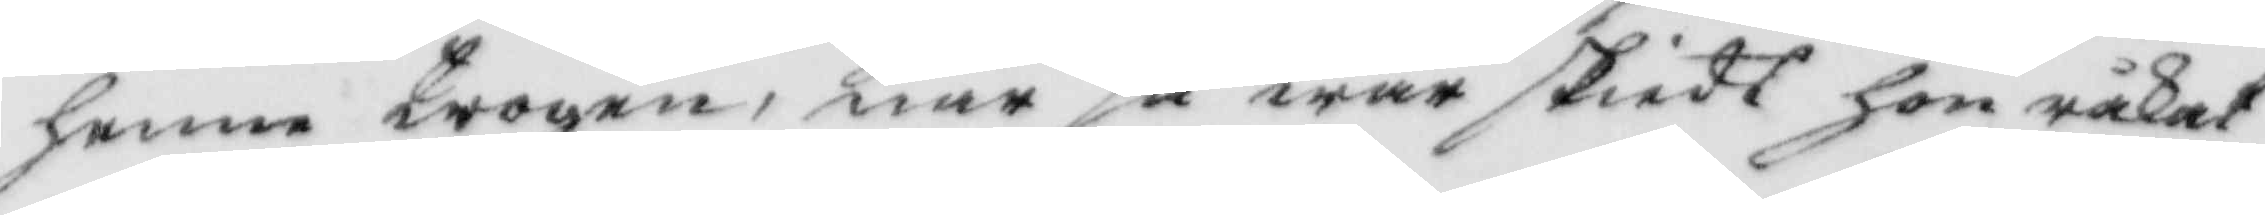henne trogen, när så war skiedt hon råkat
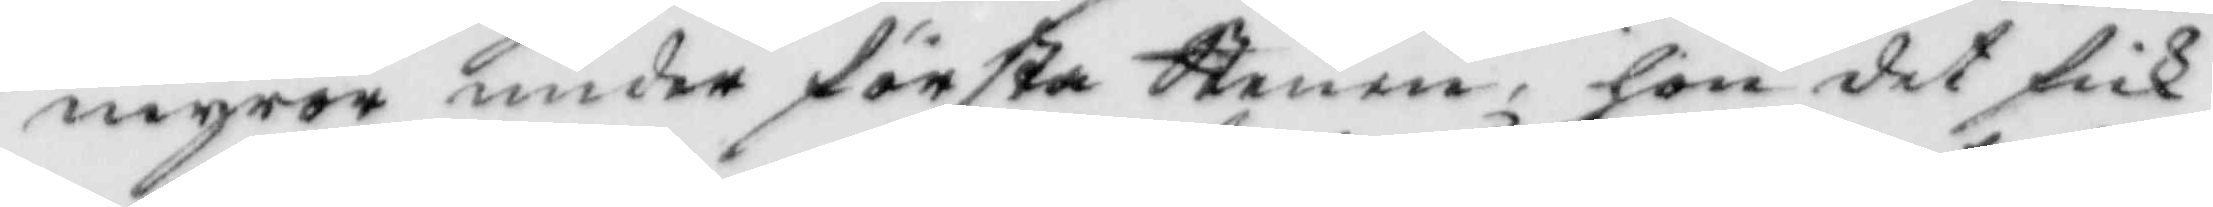myror under första Stenen, hon det fick
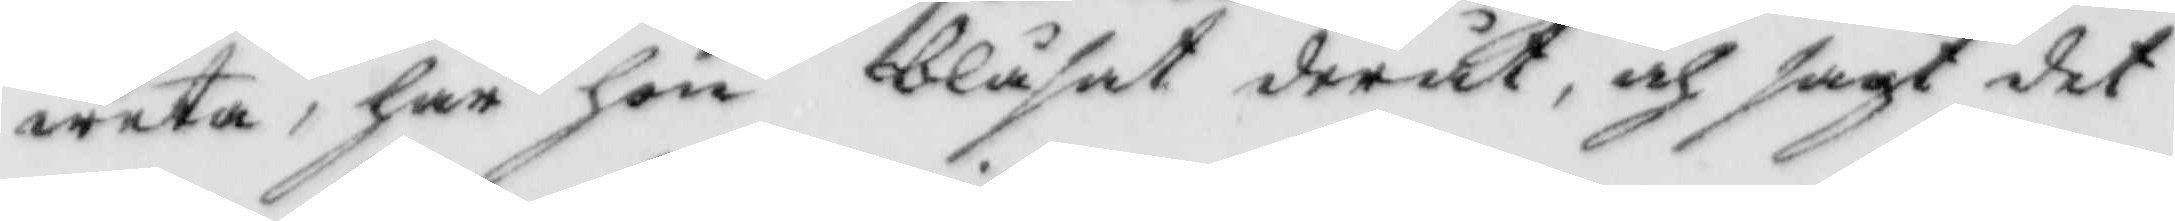weta, har hon blåsat deråt, och sagt det
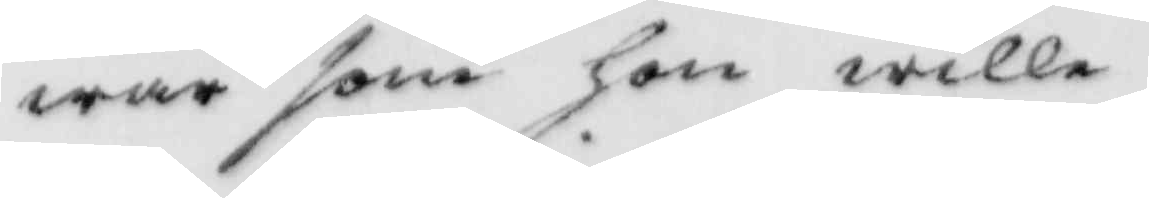war som hon wille,
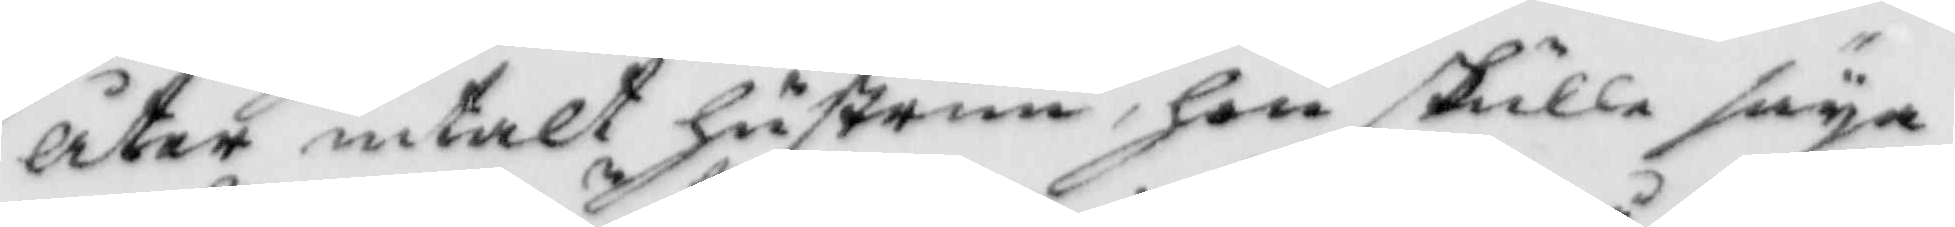åter intalt hustrun, hon skulle säya
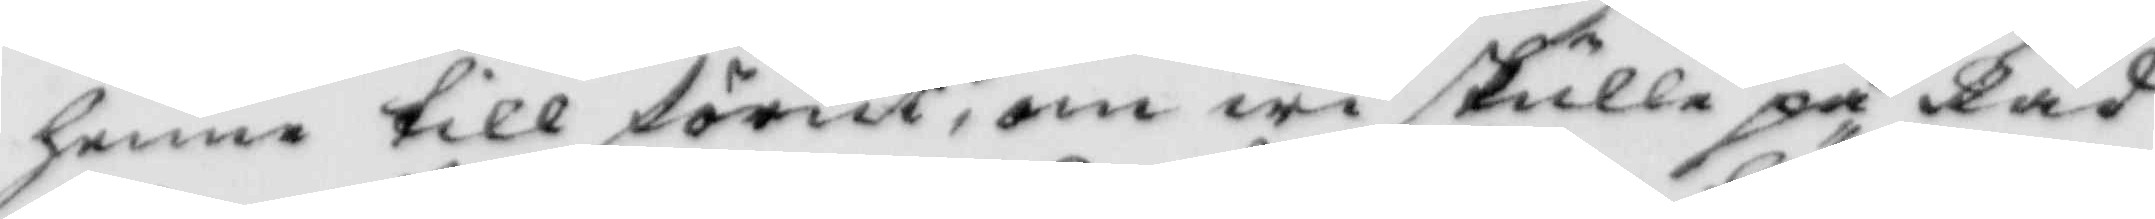henne till förut, om wi skulle på Råd¬
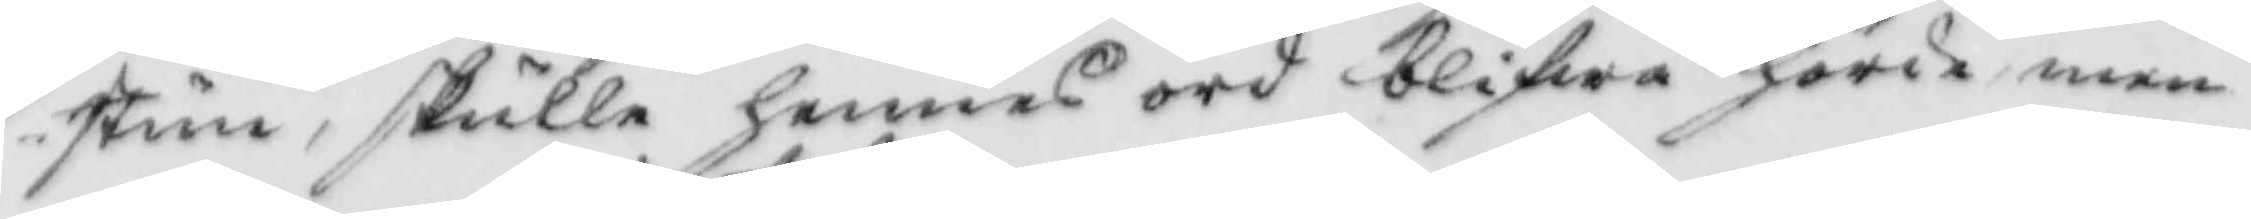stun, skulle hennes ord blifwa hörde men
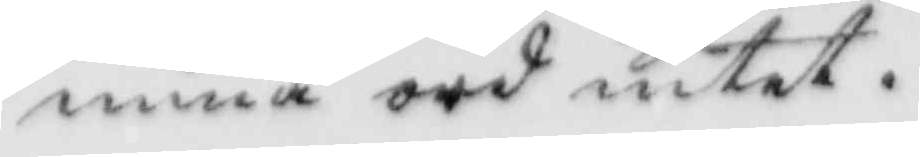mina ord intet.
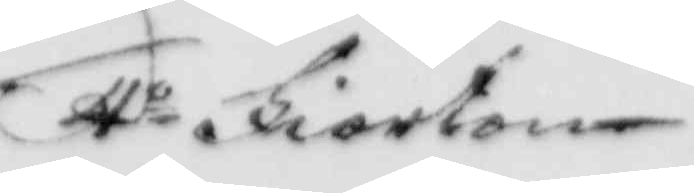4o Fiorton
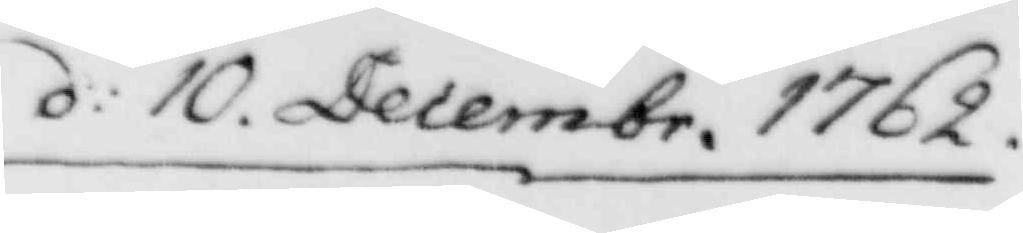d: 10 Decembr. 1762
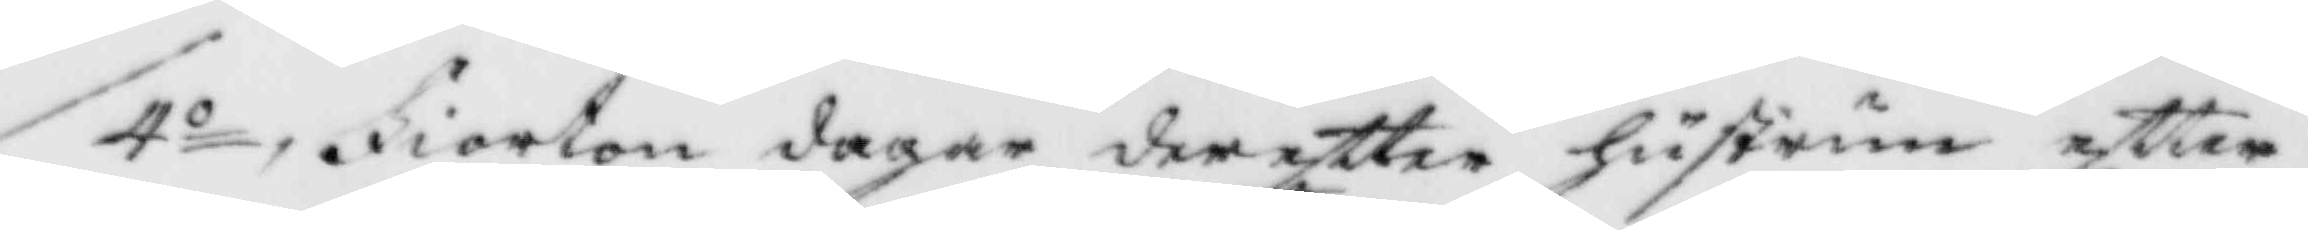4o, Fiorton dagar dereftter hsutrun eftter
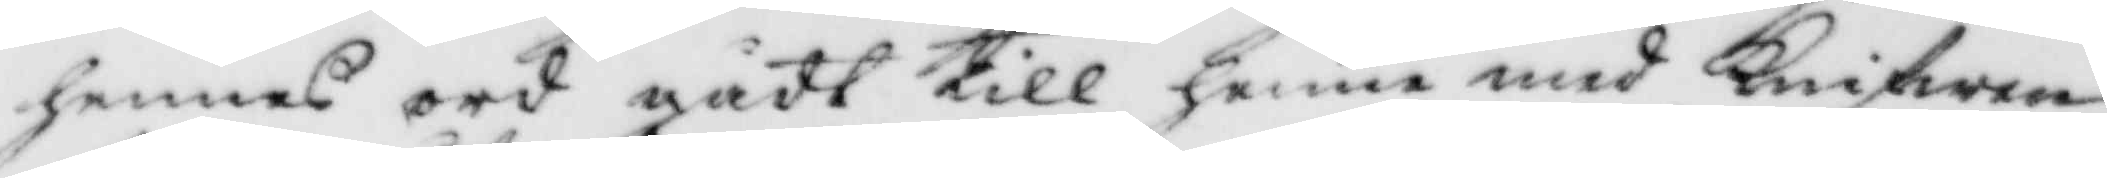hennes ord gådt till henne med Knifwen,
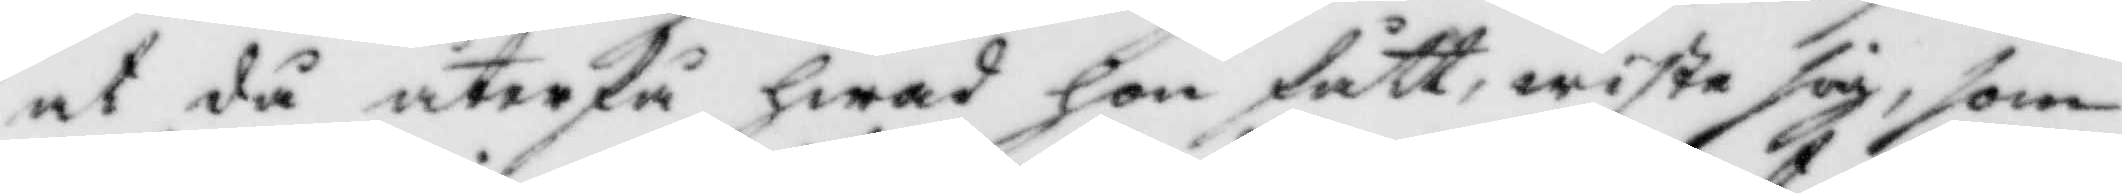at då återfå hwad hon fått, wiste sig, som
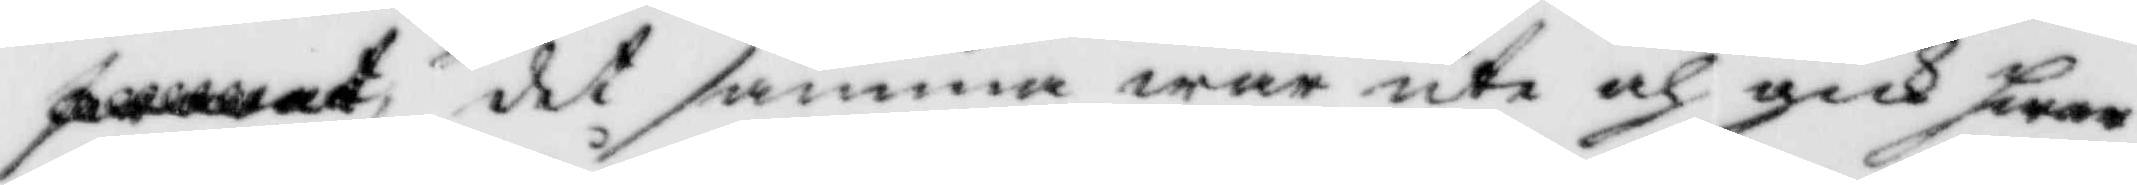det samma war ute och gick hwar
